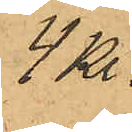4 Kr.
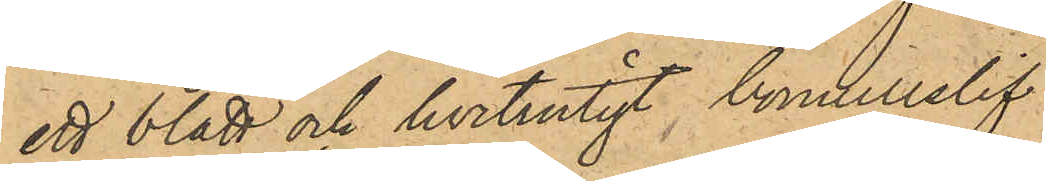ett blått och hvitrutigt bomullslif
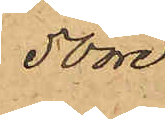50 öre
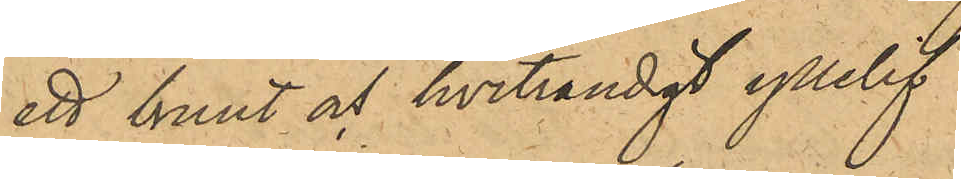ett brunt och hvitrandigt yllelif
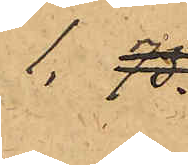1,75.
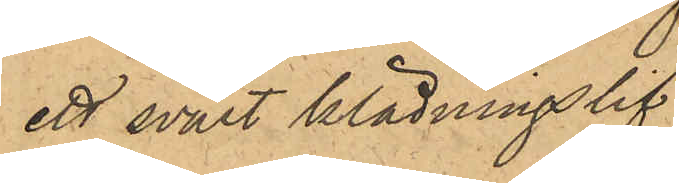ett svart klädningslif
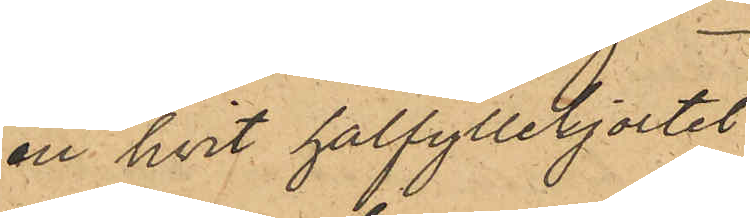en hvit halfyllekjortel
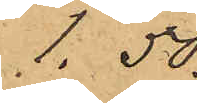1,50.
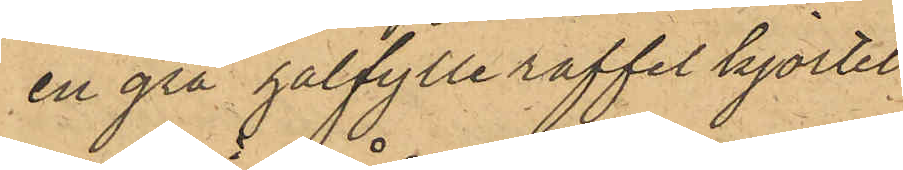en grå halfylle raffel kjortel
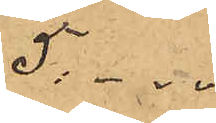5: --
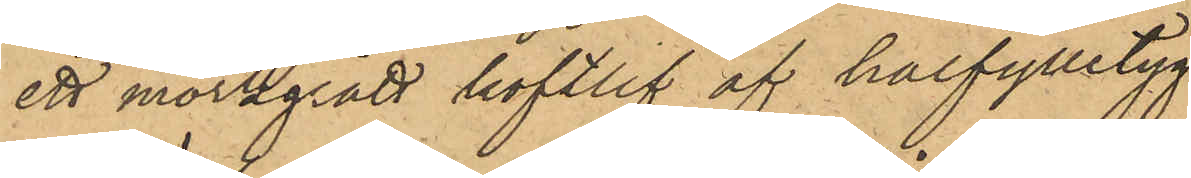ett mörkgrått koftlif af halfylletyg
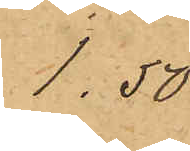1.50.
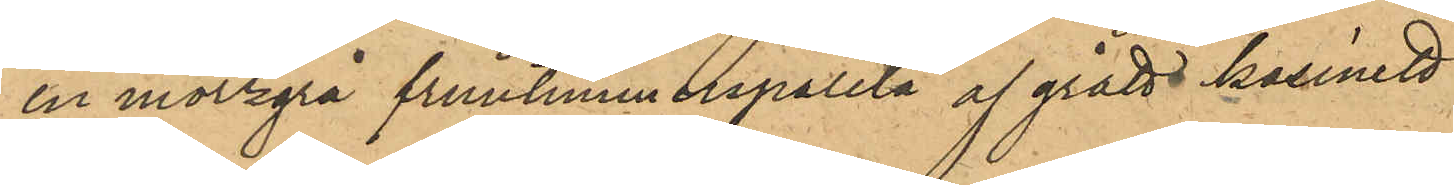en mörkgrå fruntimmerspaletå af grått kasinett
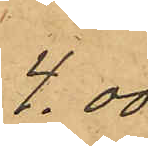4.00
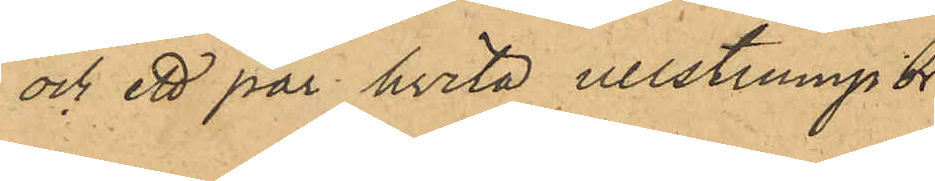och ett par hvita ullstrumpor
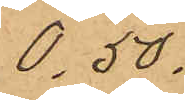0.50.
